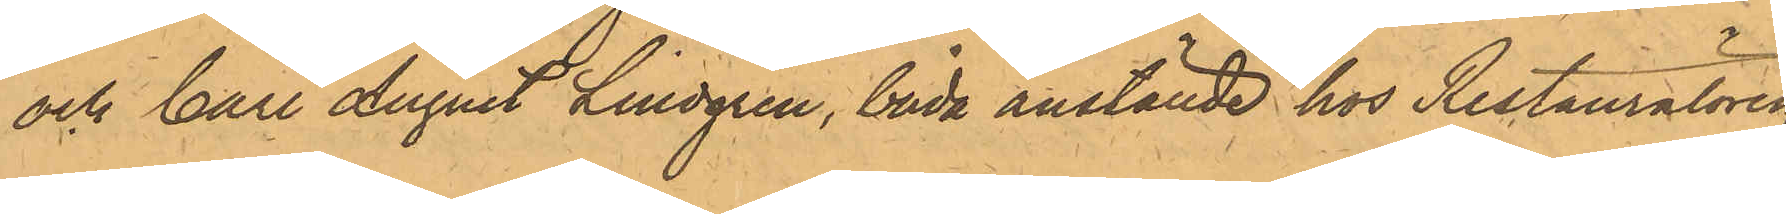och Carl August Lindgren, båda anställde hos Restauratören
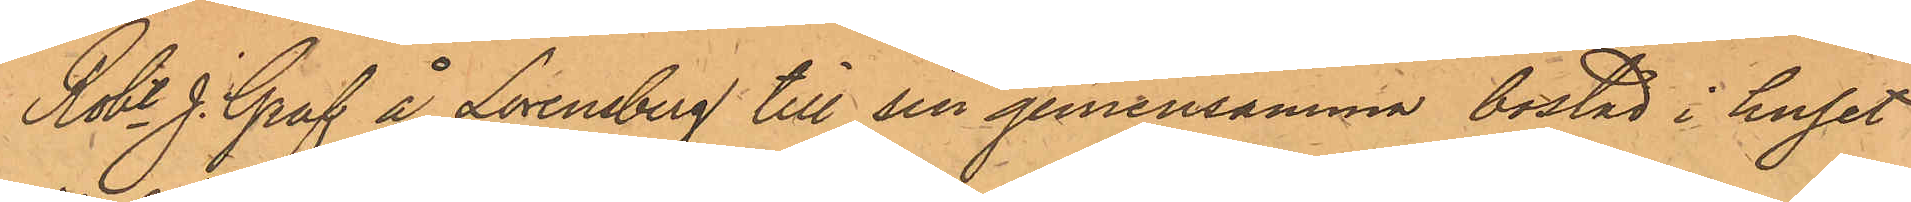Robt. J. Graf å Lorensberg till sin gemensamma bostad i huset
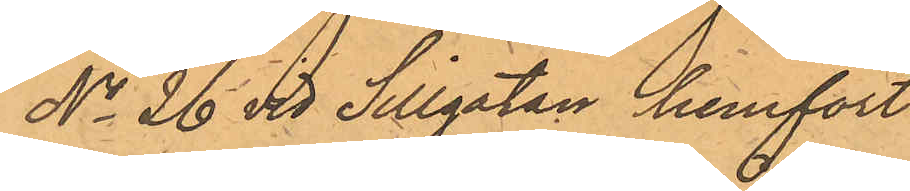No 26 vid Sillgatan hemfört
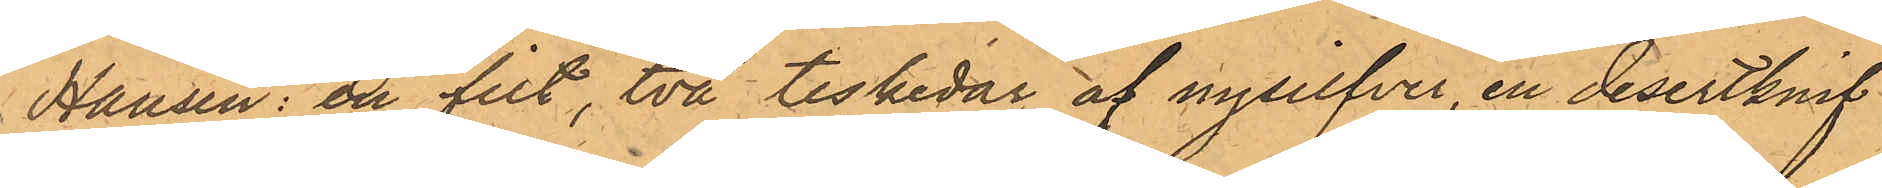Hansen: en filt, två teskedar af nysilfver, en desertknif
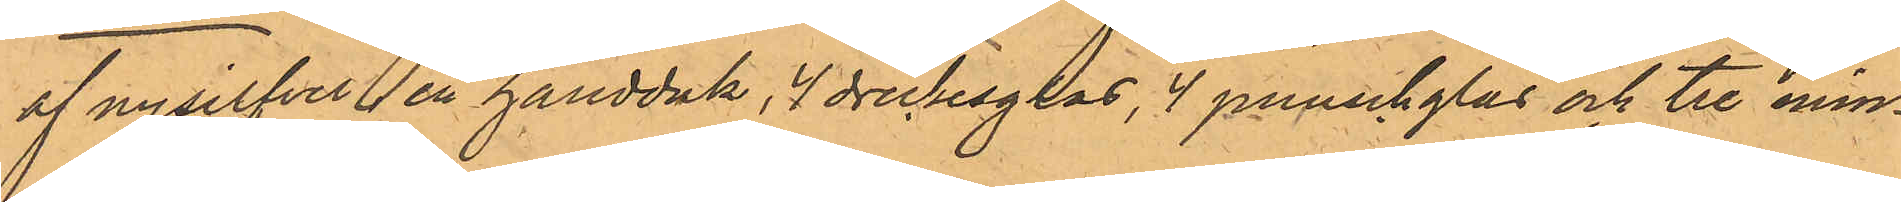af nysilfver, en handduk, 4 dricksglas, 4 punschglas och tre min¬
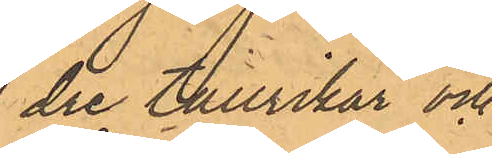dre tallrikar och
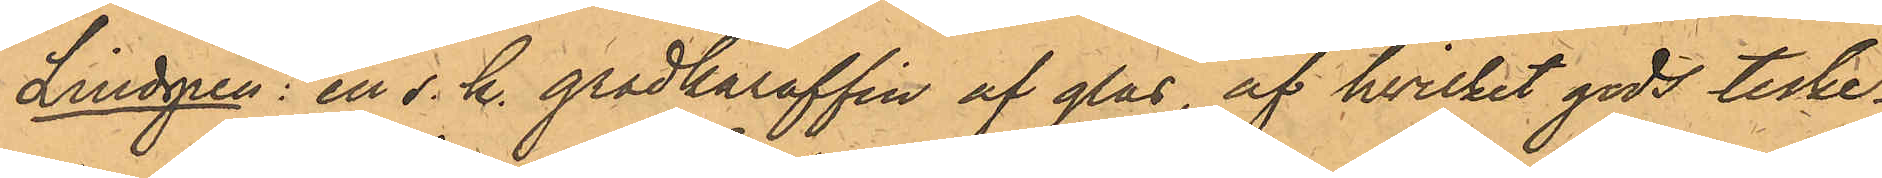Lindgren: en s.k. gradkaraffin af glas, af hvilket gods teske¬
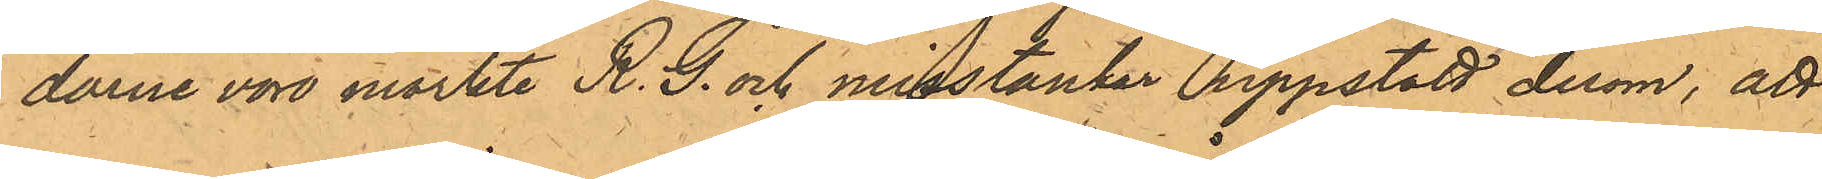darne voro märkte R. G. och misstankar uppstått derom, att
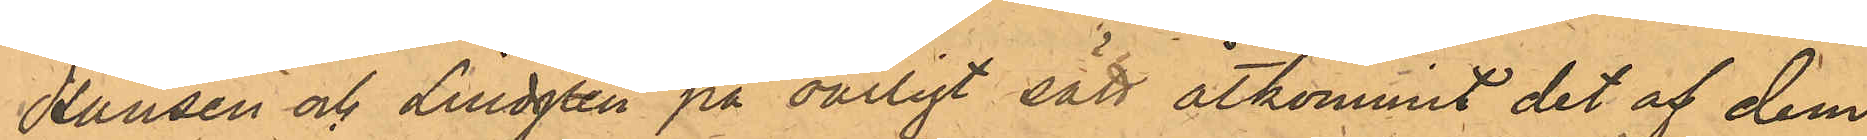Hansen och Lindgren på oärligt sätt åtkommit det af dem
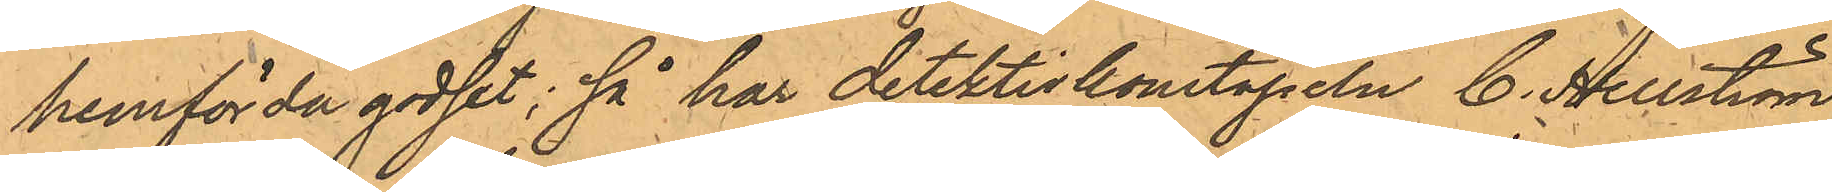hemförda godset; så har detektivkonstapeln C. Hellström
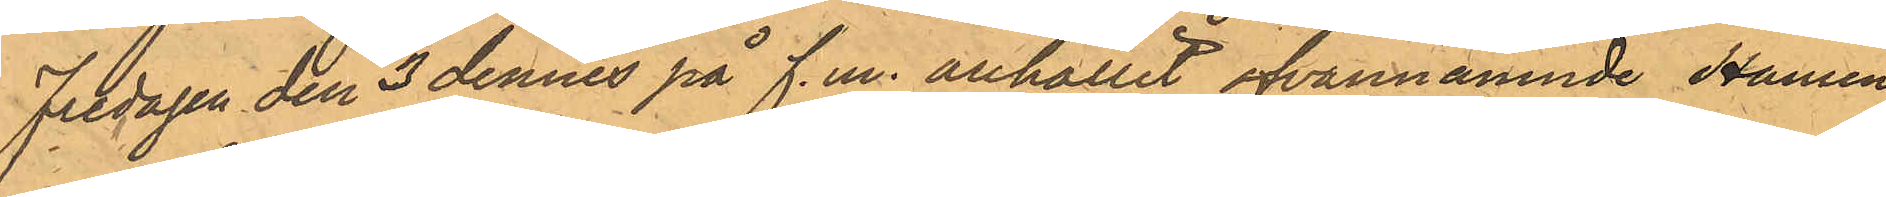Fredagen den 3 dennes på f.m. anhållit ofvannämnde Hansen
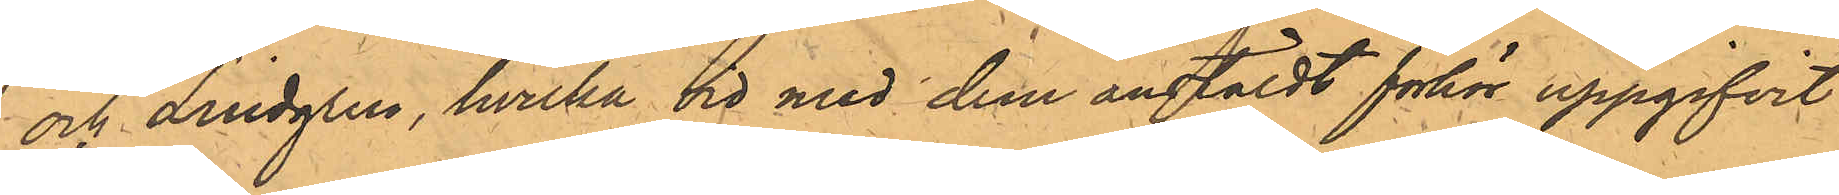och Lindgren, hvilka vid med dem anstäldt förhör uppgifvit:
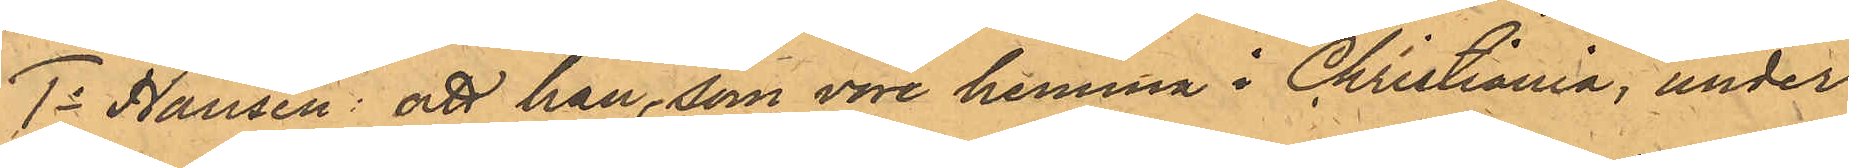1o Hansen: att han, som vore hemma i Christiania, under
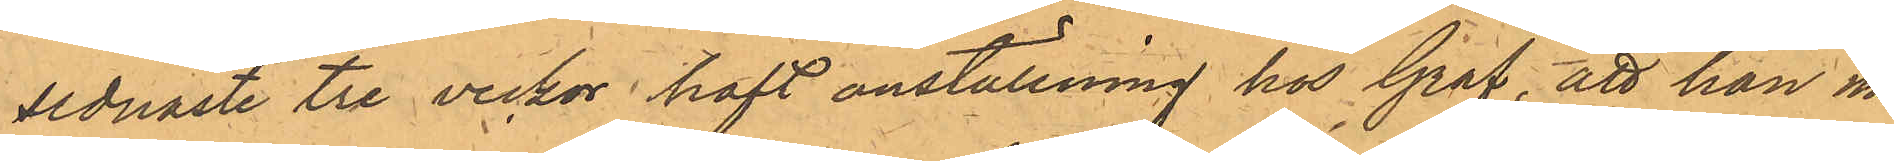sednaste tre veckor haft anställning hos Graf, att han nå¬
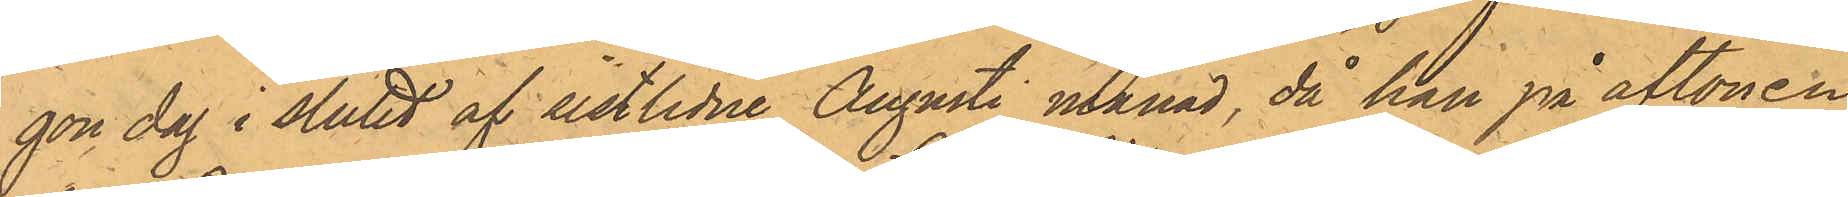gon dag i slutet af sistlidne Augusti månad, då han på aftonen
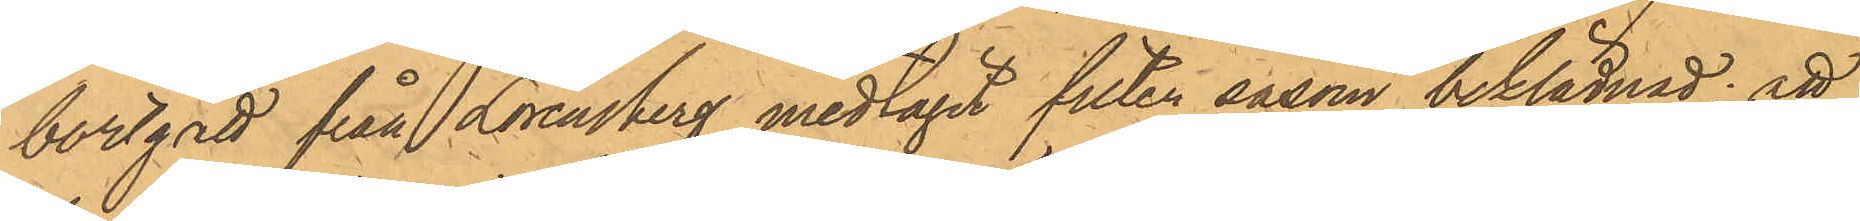bortgått från Lorensberg, medtagit filten såsom beklädnad; att
